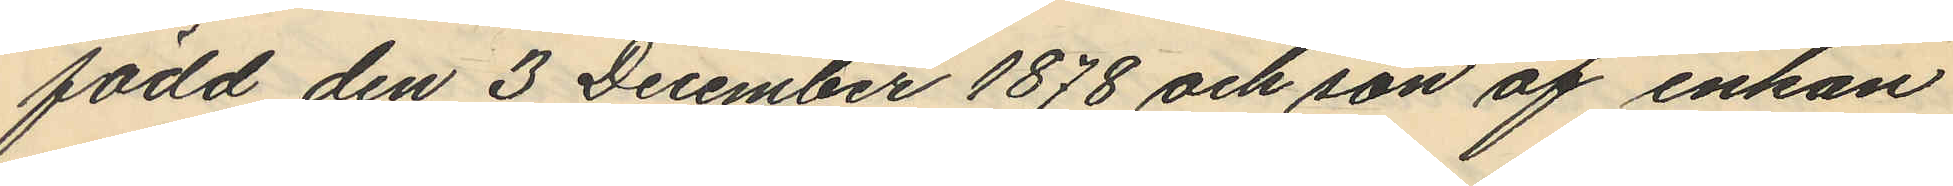född den 3 December 1878 och son af enkan
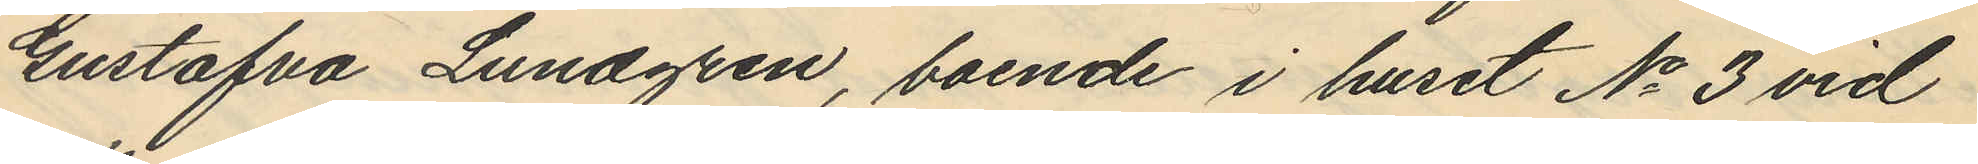Gustafva Lundgren, boende i huset No 3 vid
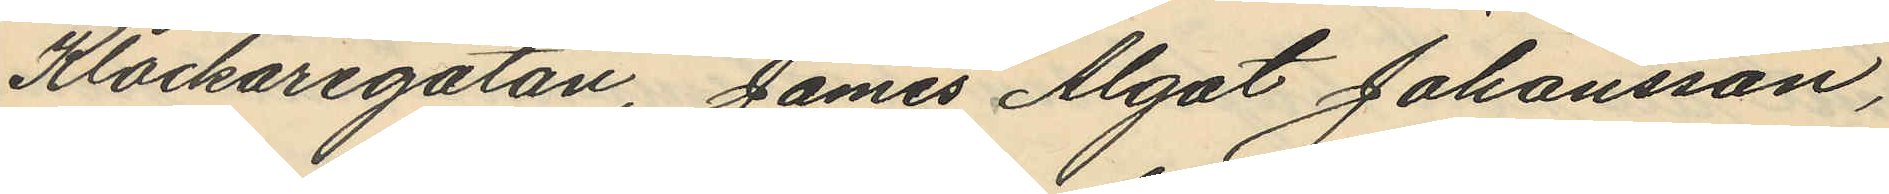Klockaregatan, James Algot Johansson,
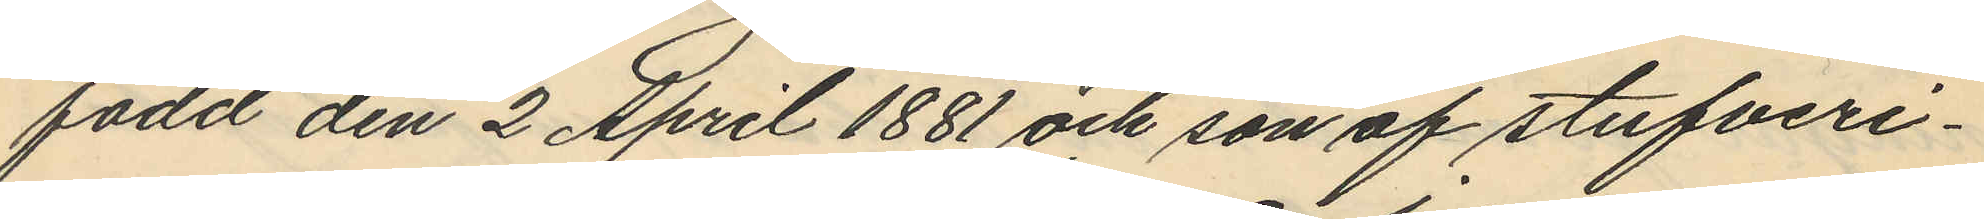född den 2 April 1881 och son af stufveri¬
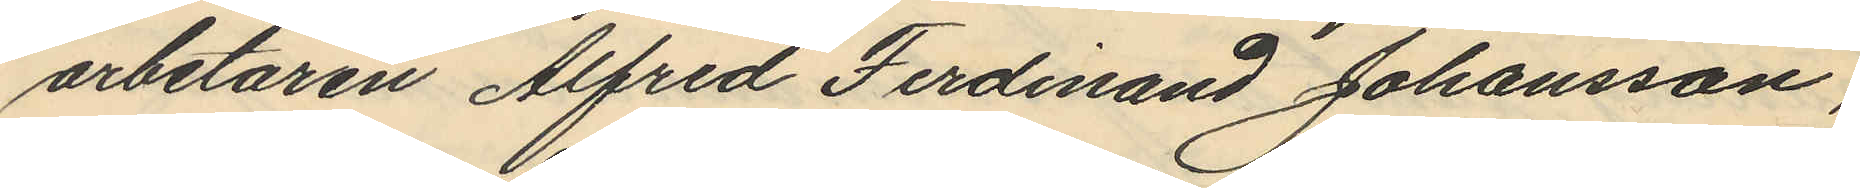arbetaren Alfred Ferdinand Johansson,
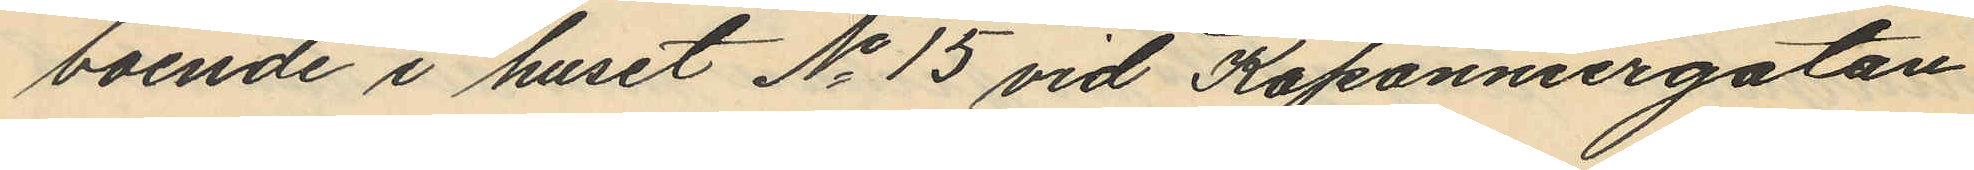boende i huset No 15 vid Kaponniergatan
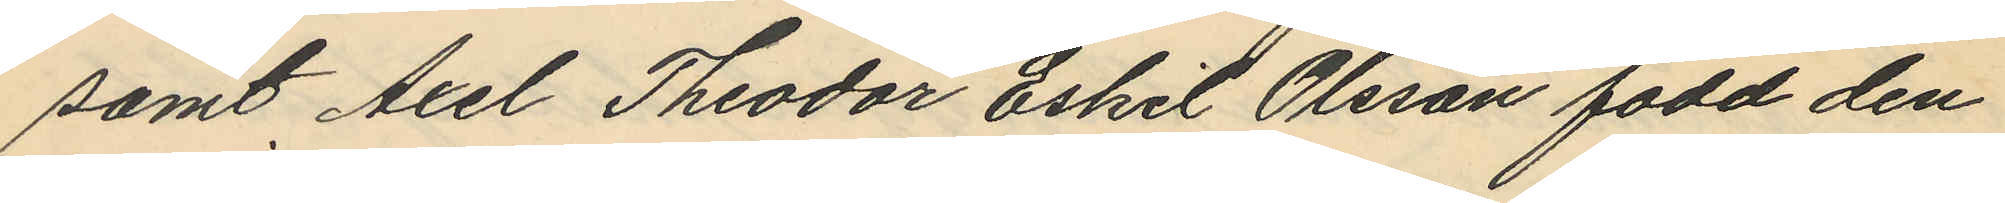samt Axel Theodor Eskil Olsson född den
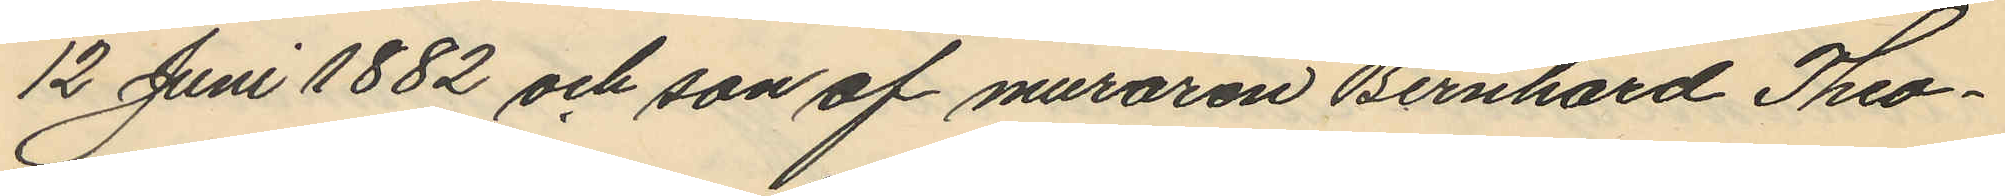12 Juni 1882 och son af muraren Bernhard Theo¬
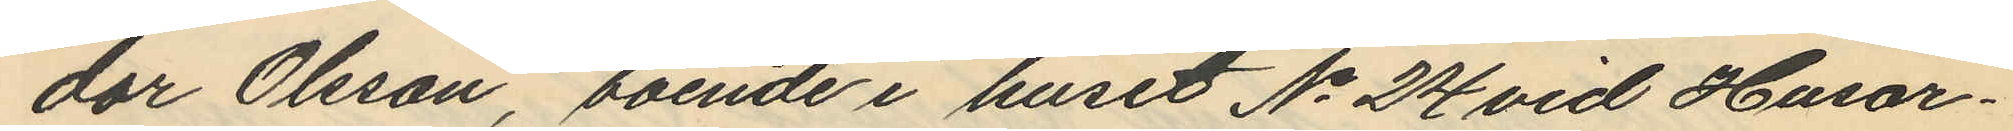dor Olsson, boende i huset No 24 vid Husar¬
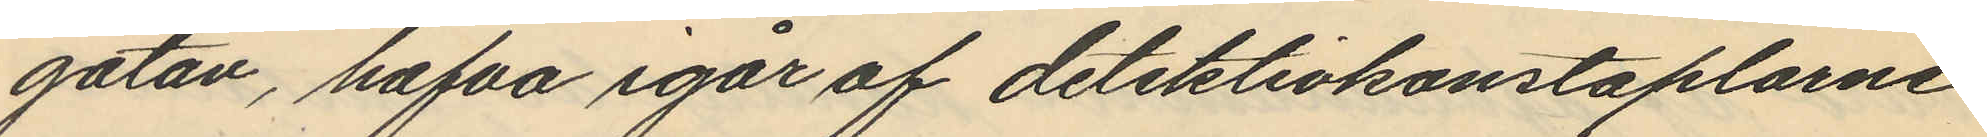gatan, hafva igår af detektivkonstaplarne
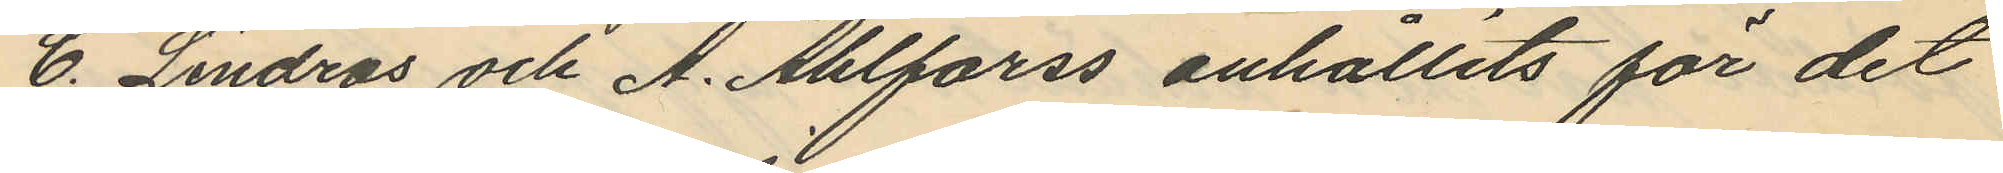C. Lindros och A. Ahlforss anhållits för det
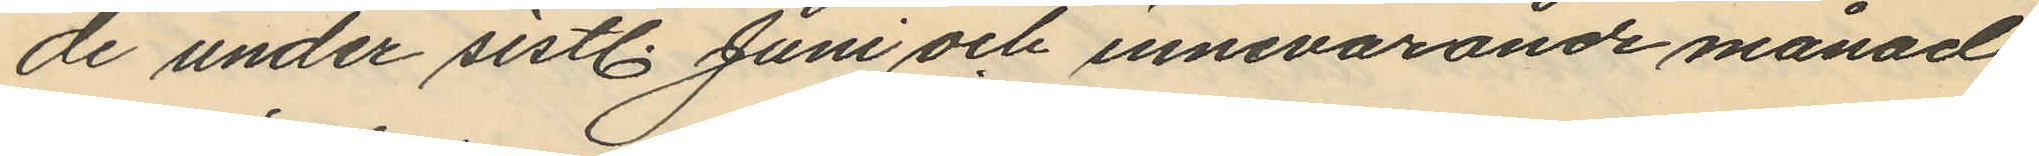de under sistl. Juni och innevarande månad
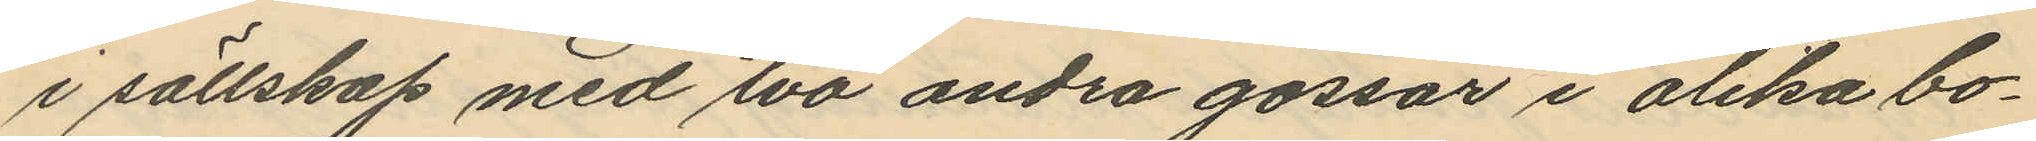i sällskap med två andra gossar i olika bo¬
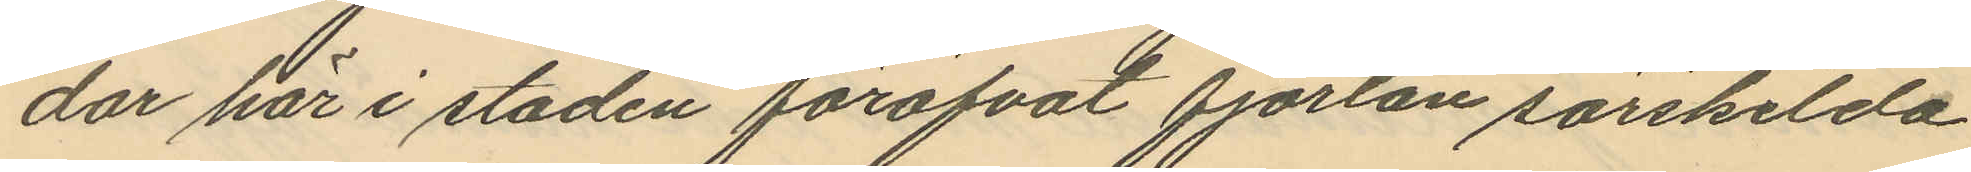dar här i staden föröfvat fjorton särskilda
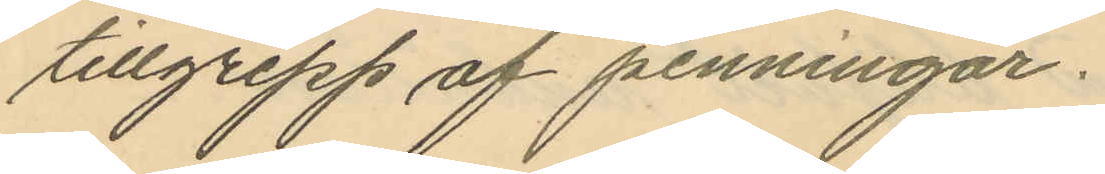tillgrepp af penningar.
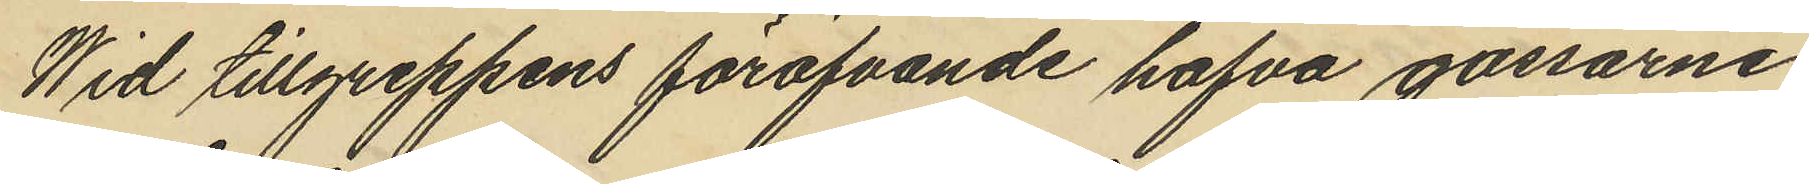Wid tillgreppens föröfvande hafva gossarne
